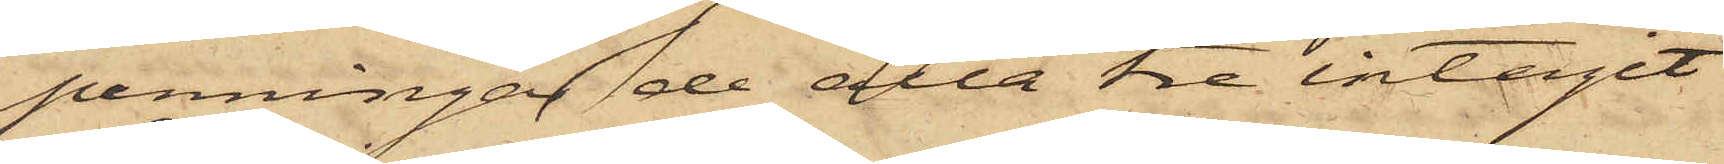penningar de alla tre intagit
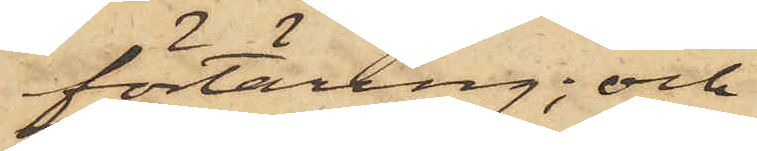förtäring; och
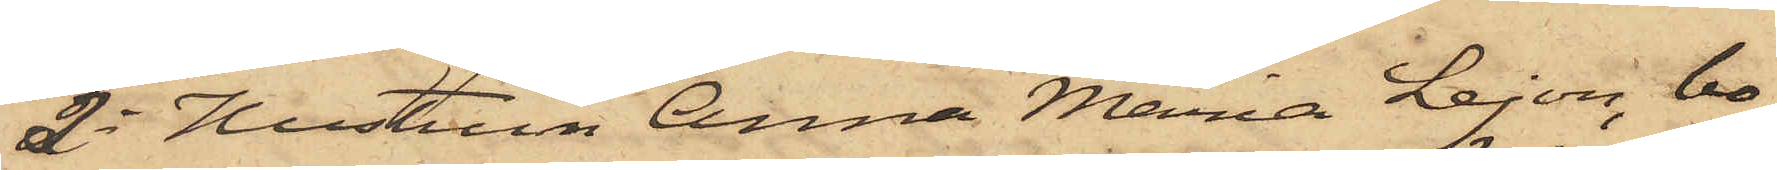3o Hustrun Anna Maria Lejon, bo¬
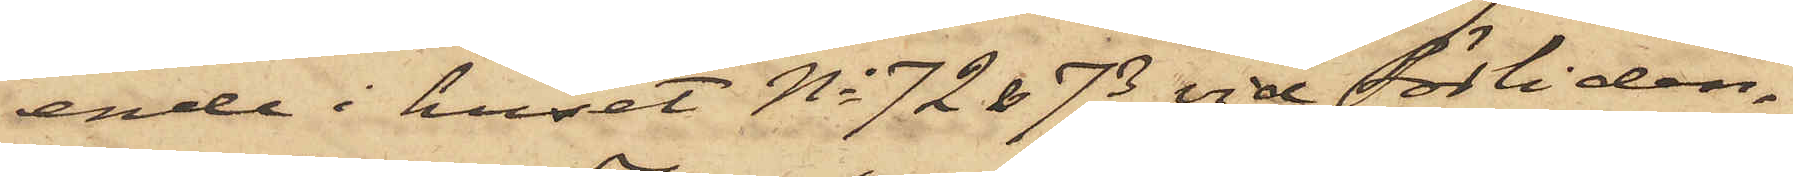ende i huset No 72 & 73 vid Sörliden,
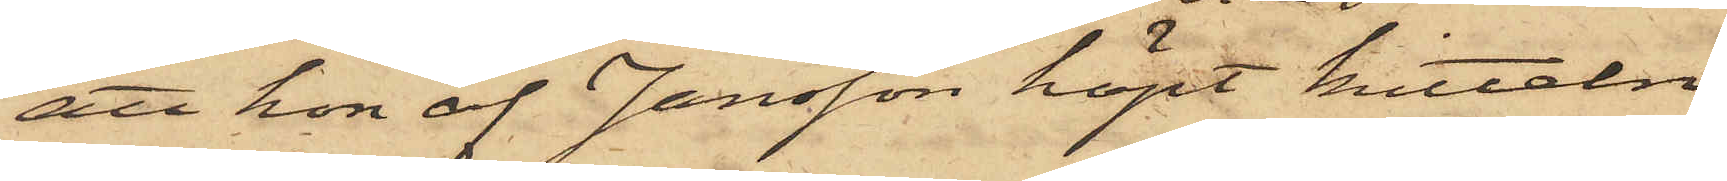att hon af Jansson köpt kitteln
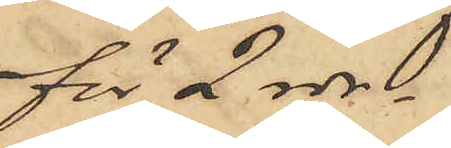för 2 rdr.
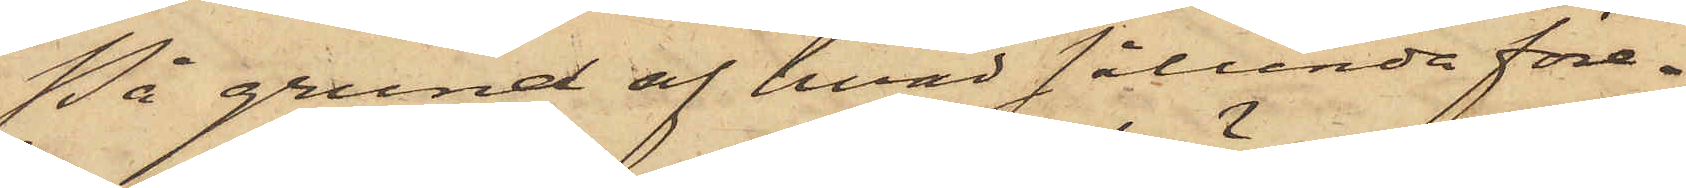På grund af hvad sålunda före¬
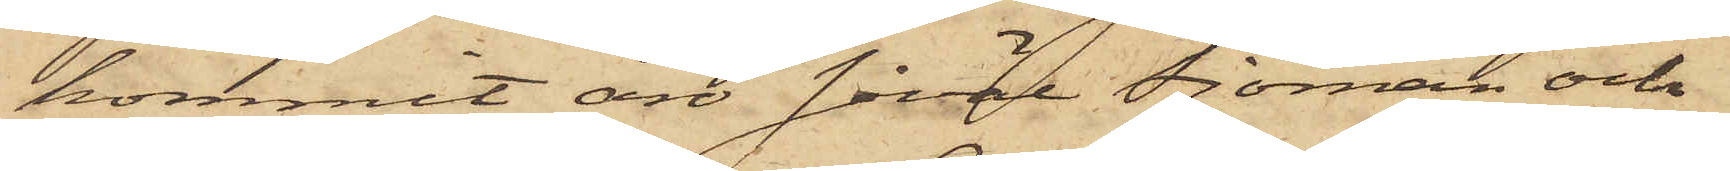kommit är såväl Sjöman och
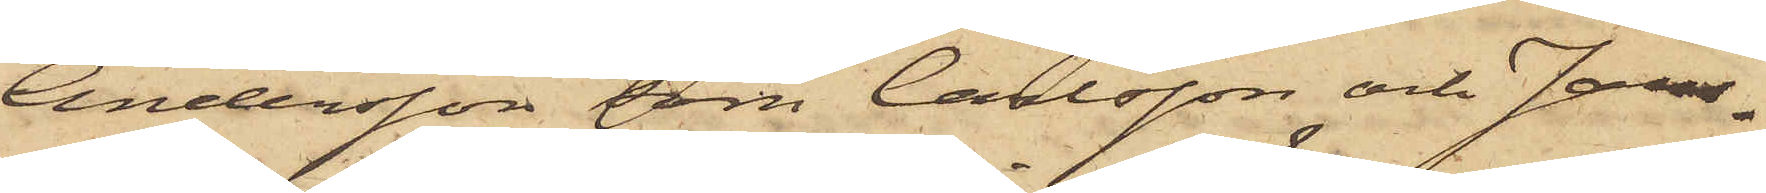Andersson som Carlsson och Jans¬
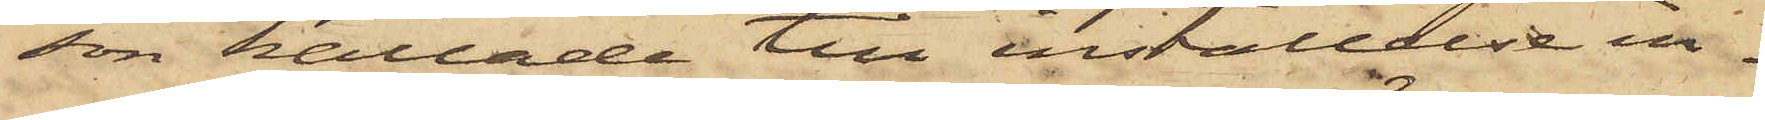son kallade till inställelse in¬
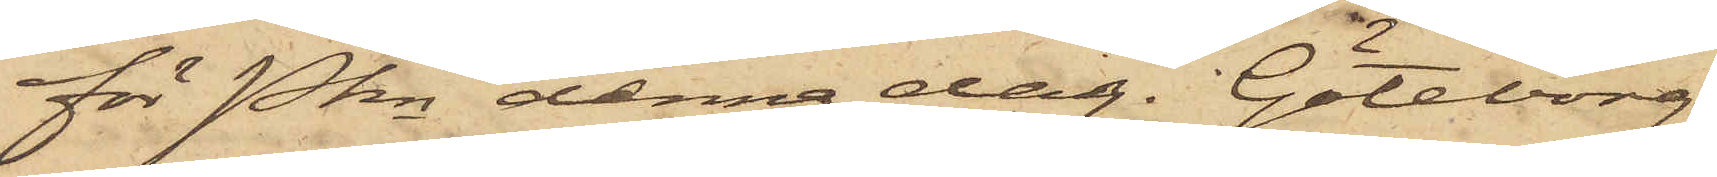för Pkn denna dag. Göteborg
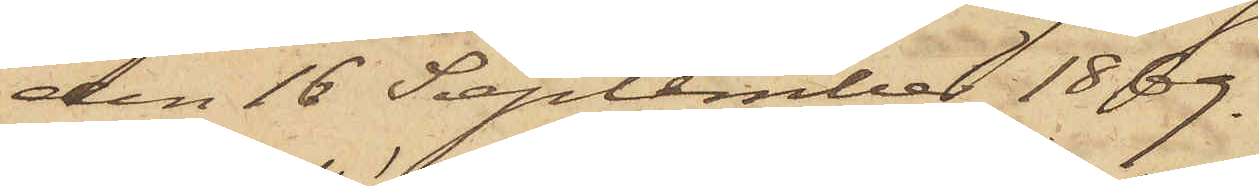den 16 September 1869.
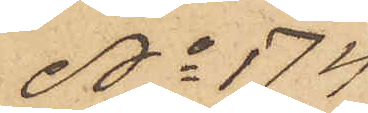No 174
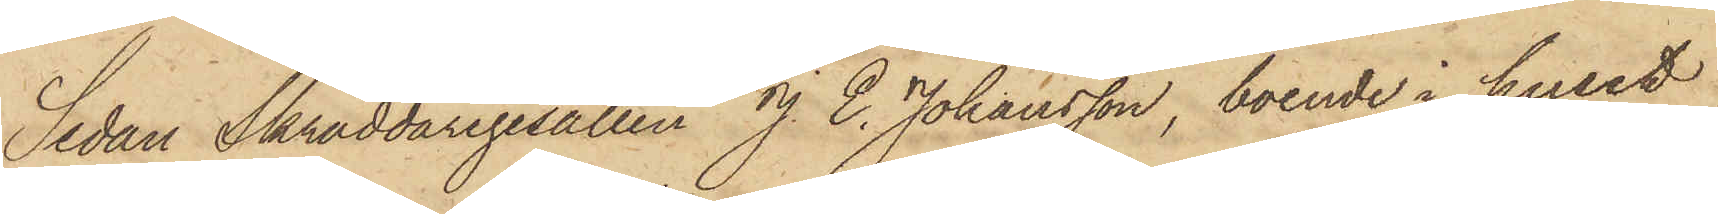Sedan Skräddaregesällen J. E. Johansson, boende i huset
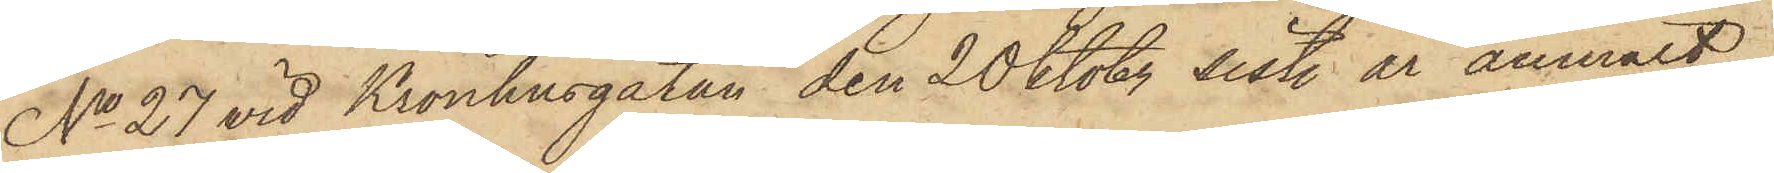No 27 vid Kronhusgatan den 20 Oktober sist. år anmält,
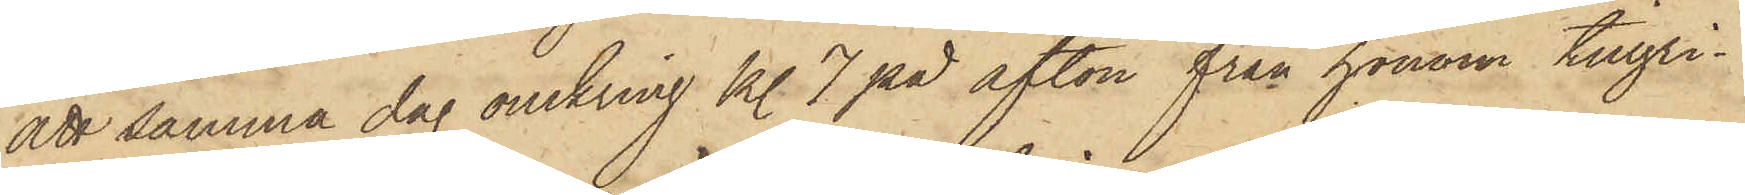att samma dag omkring kl. 7 på afton från honom tillgri¬
